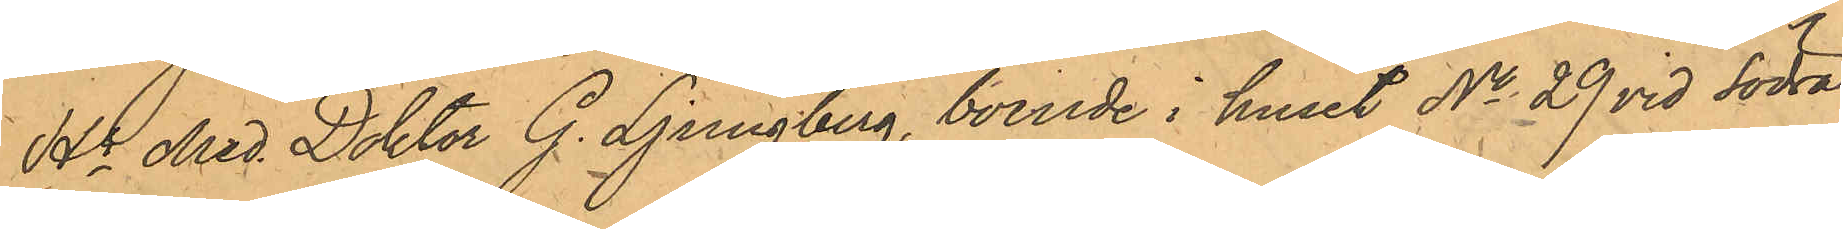Hr Med. Doktor G. Ljungberg, boende i huset No 29 vid Södra
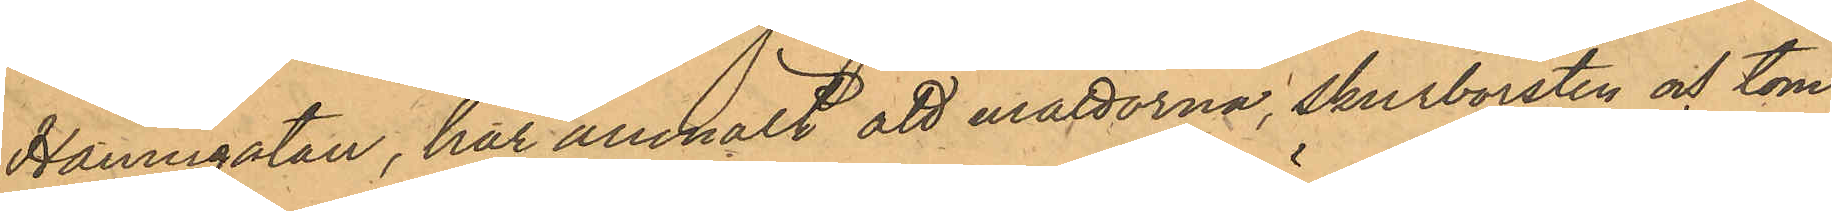Hamngatan, har anmält att mattorna, skurborsten och tom¬
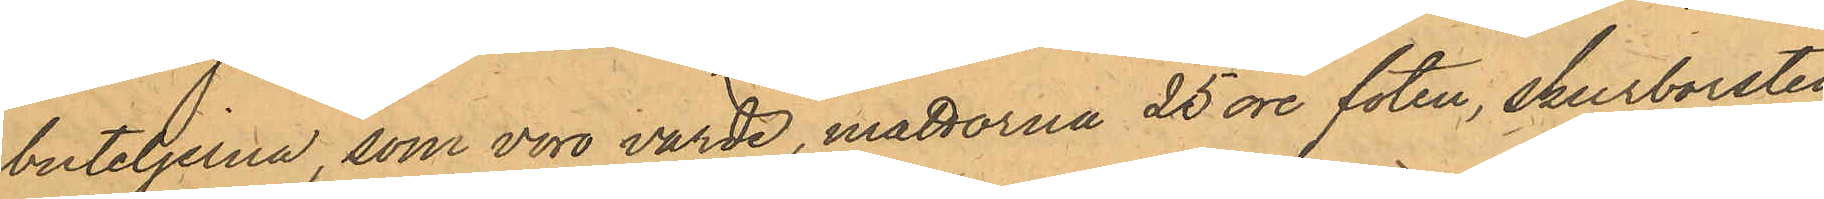buteljerna, som voro värde, mattorna 25 öre foten, skurborsten
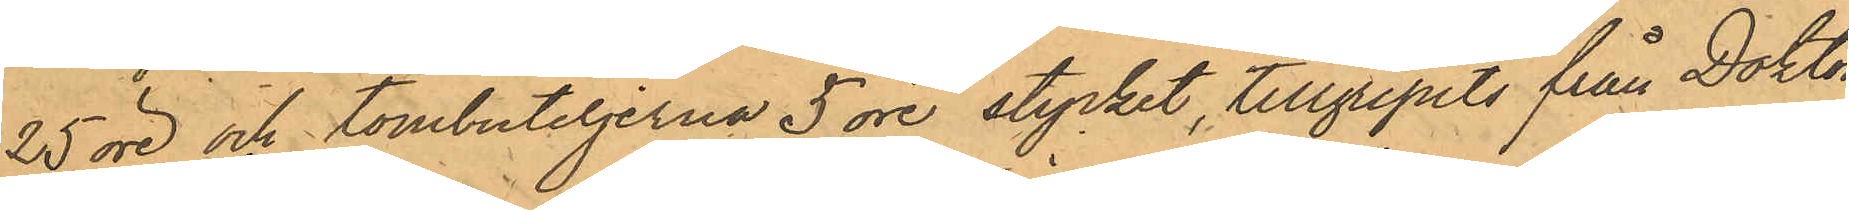25 öre och tombuteljerna 5 öre stycket, tillgripits från Doktor
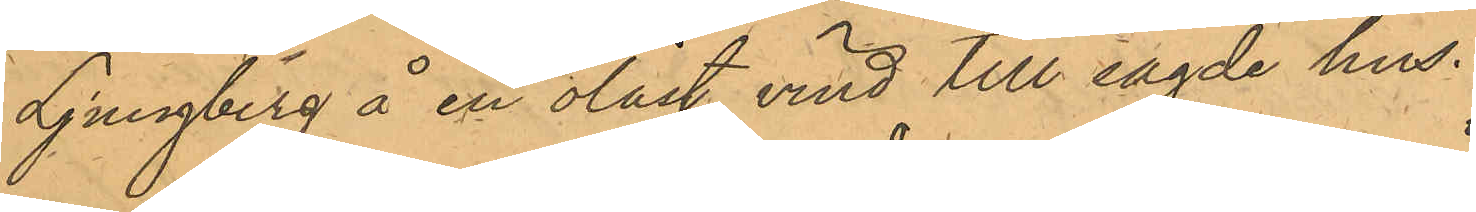Ljungberg å en olåst vind till sagde hus.
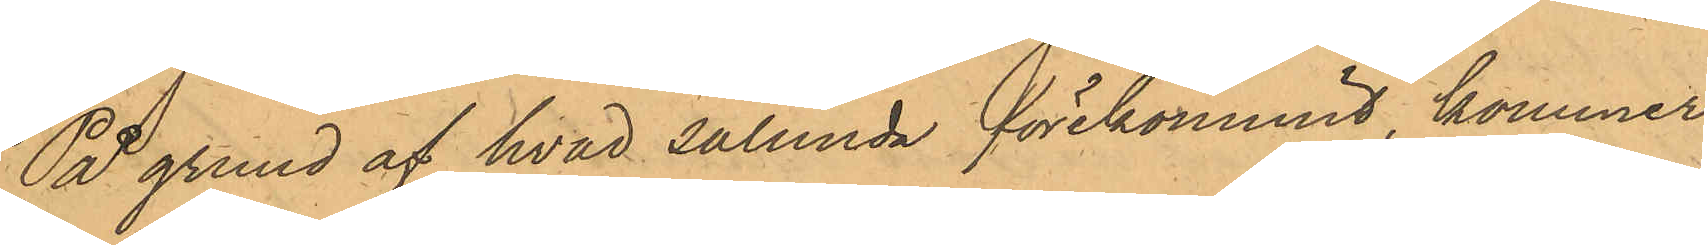På grund af hvad sålunda förekommit, kommer 
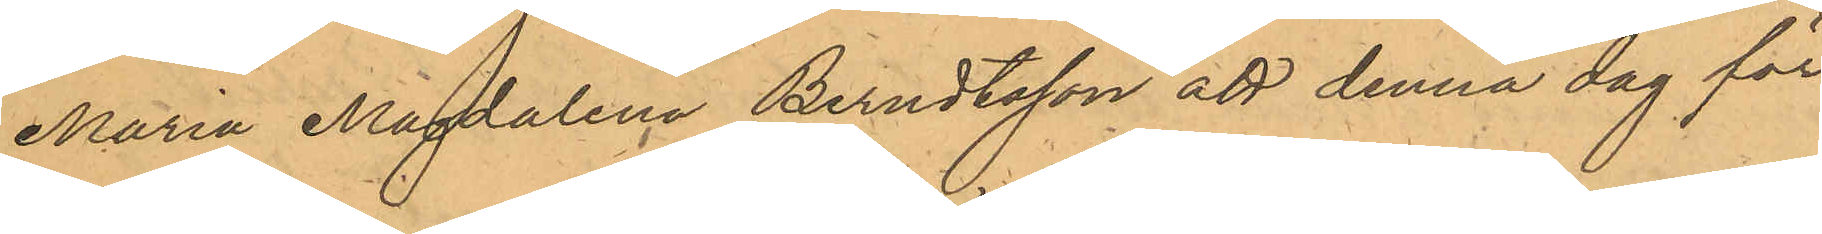Maria Magdalena Berndtsson att denna dag för
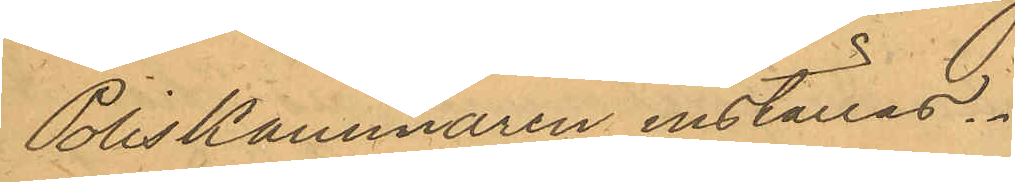Poliskammaren inställas.
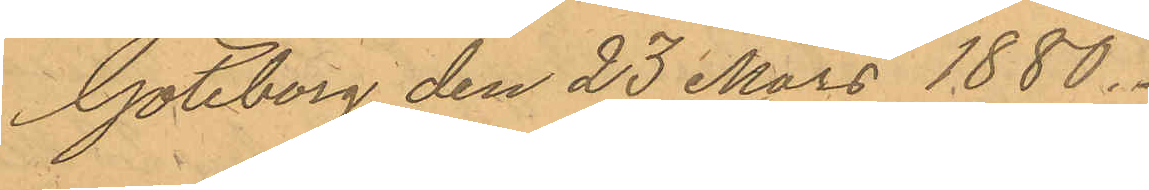Göteborg den 23 mars 1880.
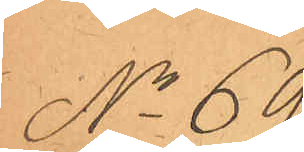No 69.
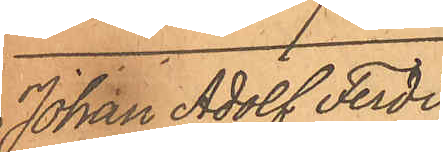Johan Adolf Ferdi¬
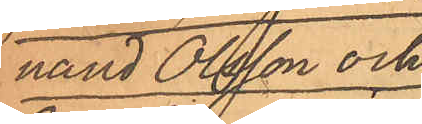nand Olsson och
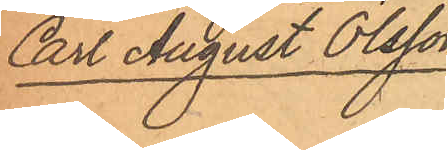Carl August Olsson.
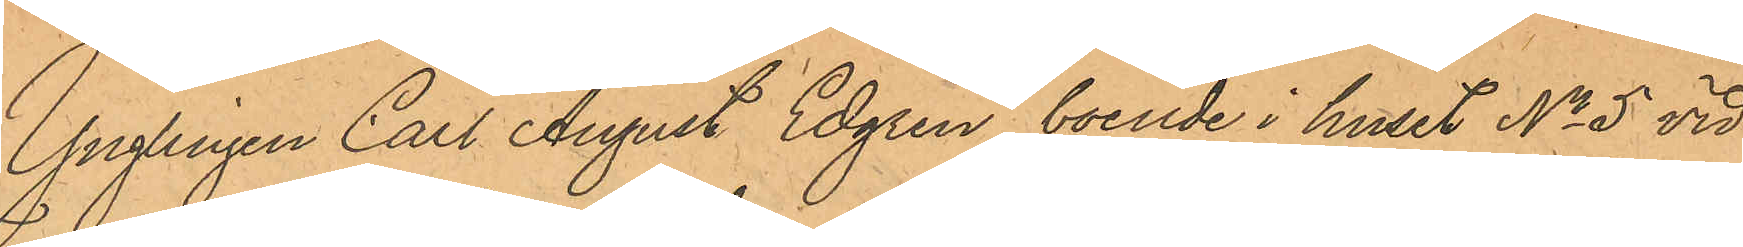Ynglingen Carl August Edgren, boende i huset No 5 vid
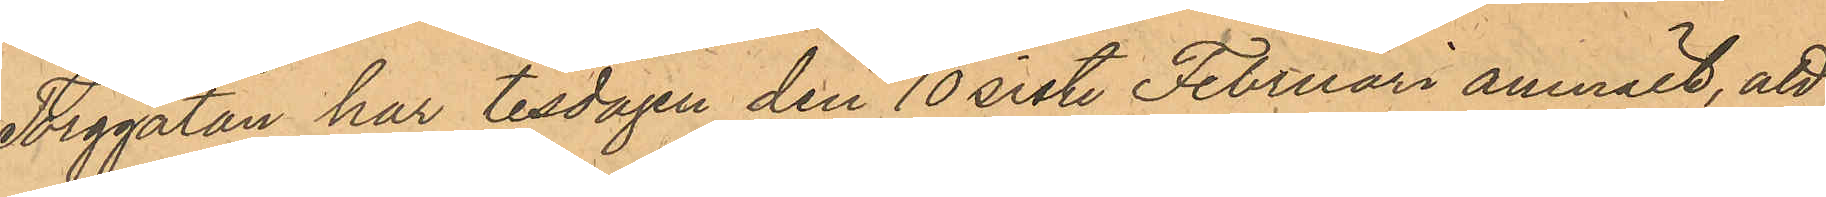Torggatan har tisdagen den 10 sistl. Februari anmält, att
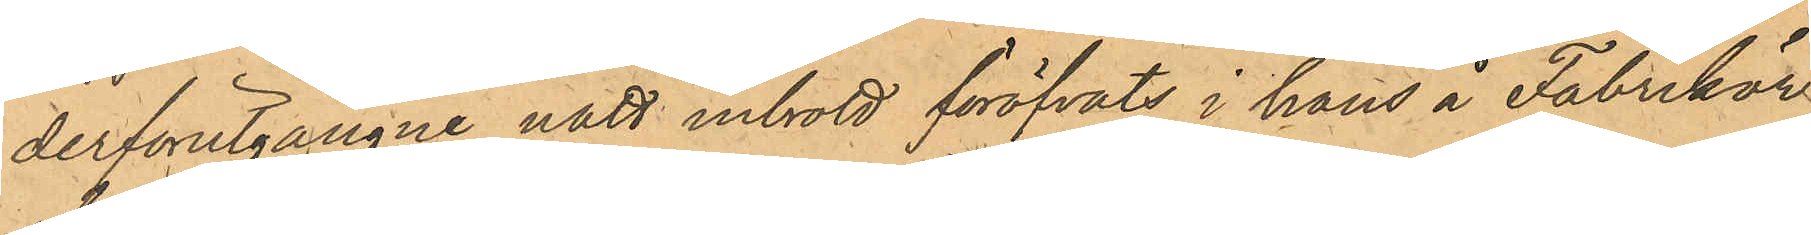derförutgångne natt inbrott föröfvats i hans å Fabrikör
